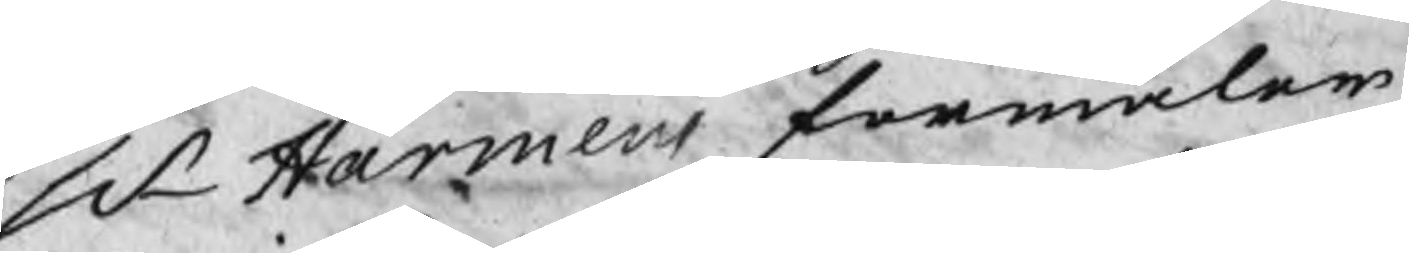Hr Harmens förmäler
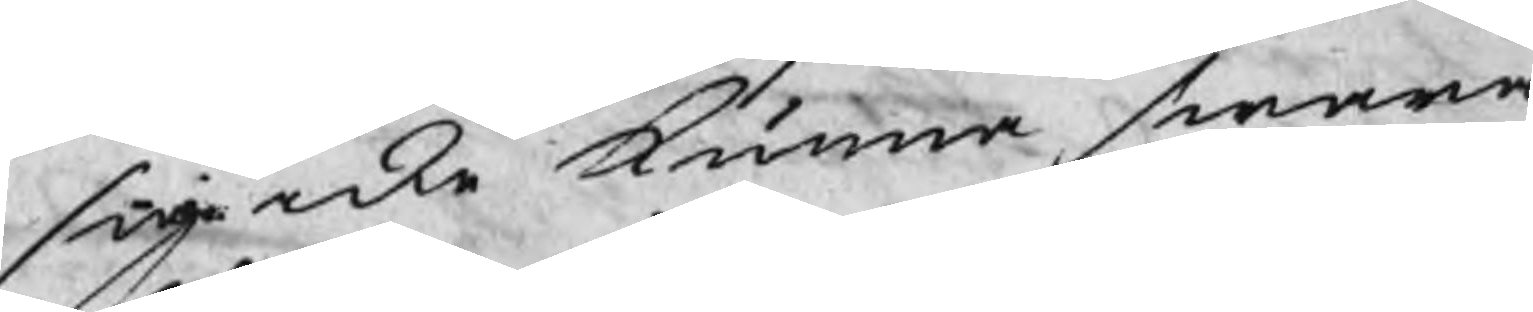sig icke kunna swara
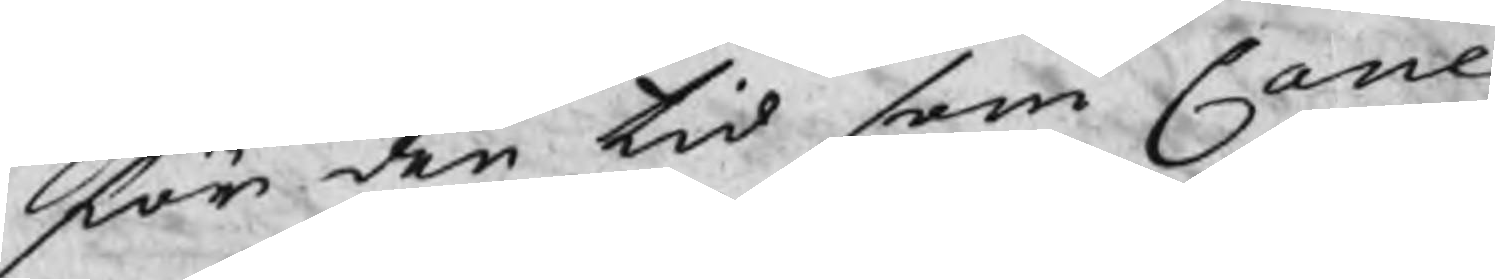för den tid som Cane
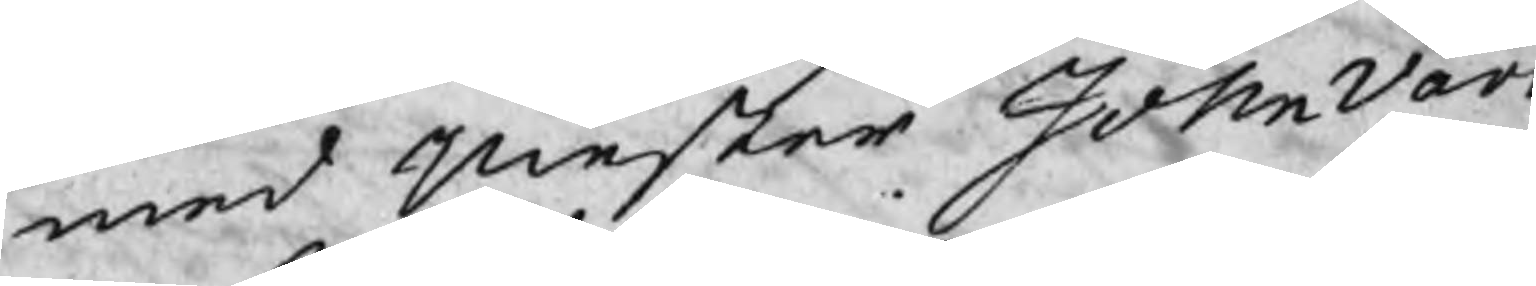med mester Johan Vard
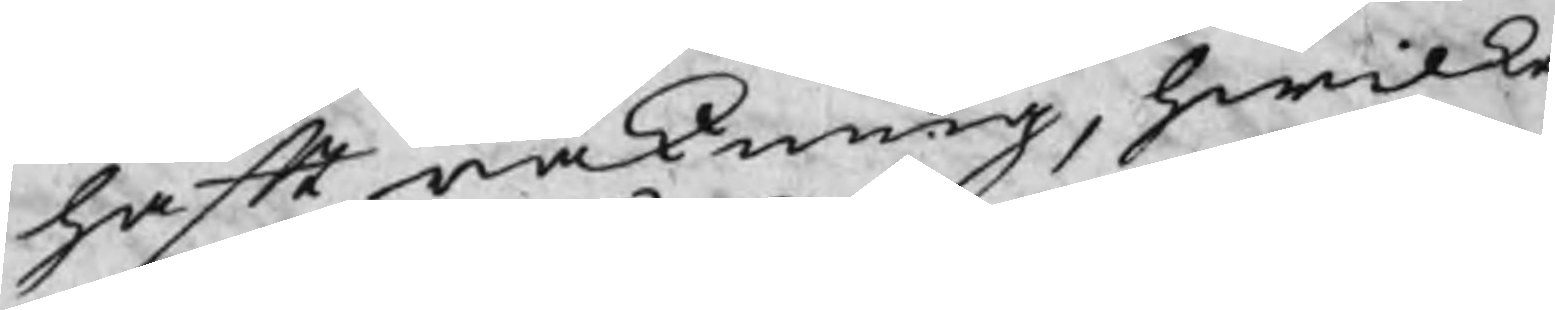haft räkning, hwilke
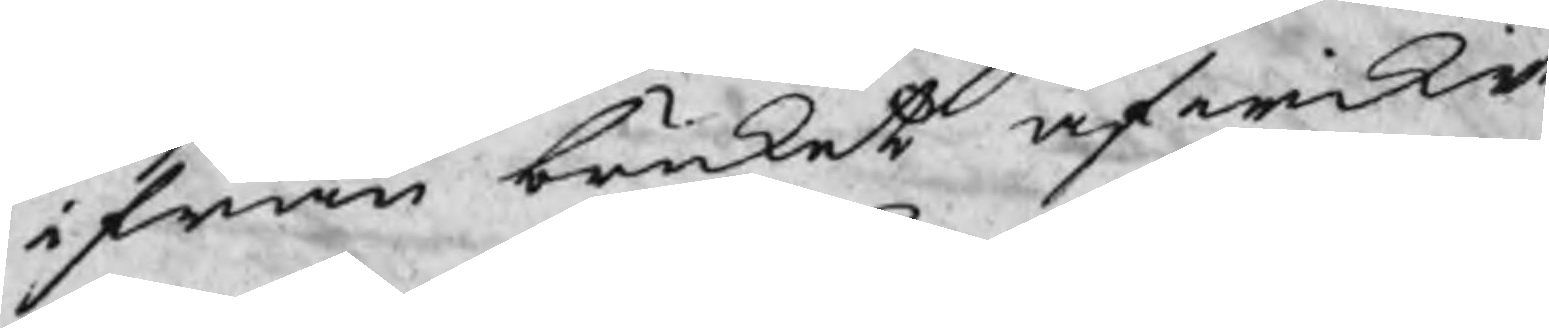ifrån bruket afwikit
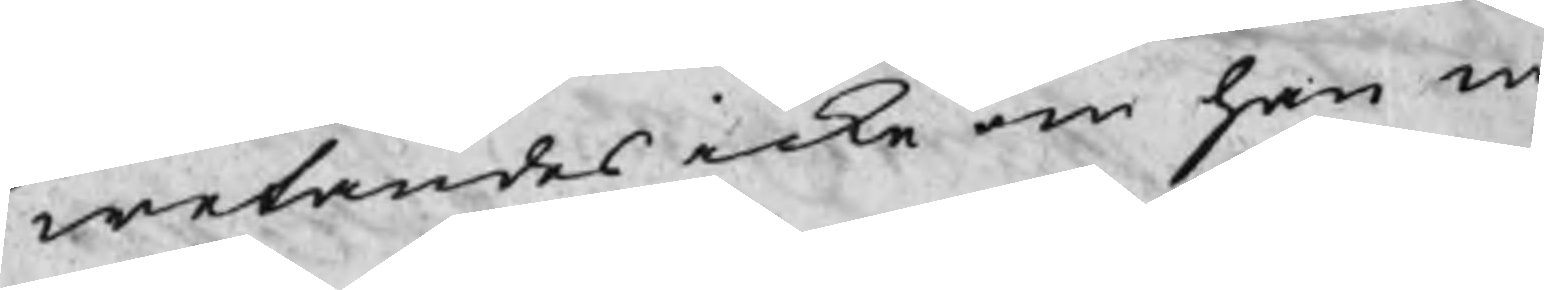wetandes icke om han nå
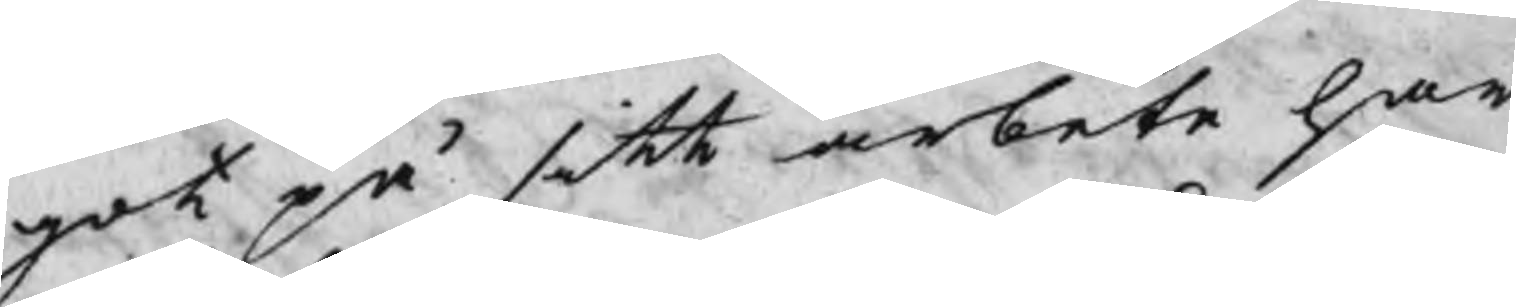got på sitt arbete har
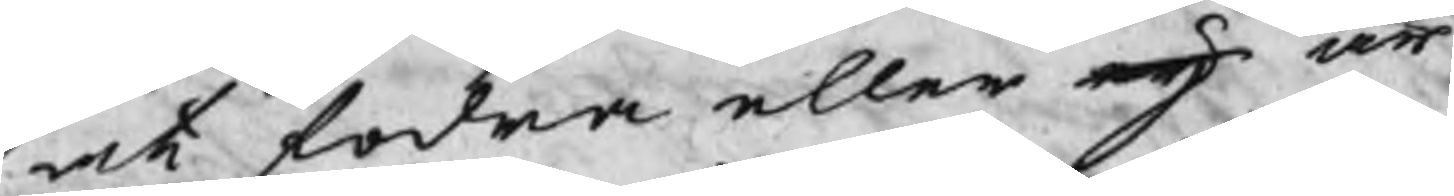at fodra eller eij är
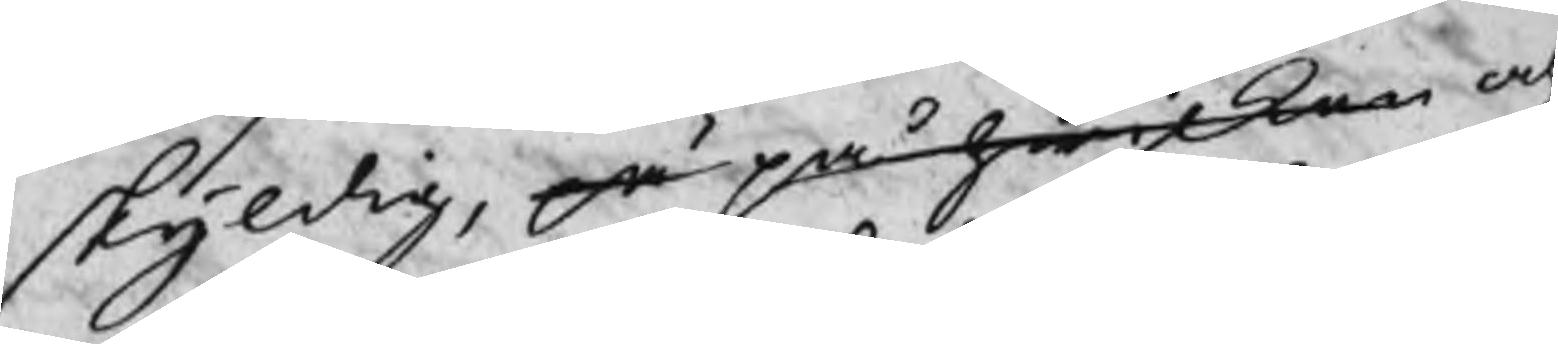skyldig, på på hwilken och
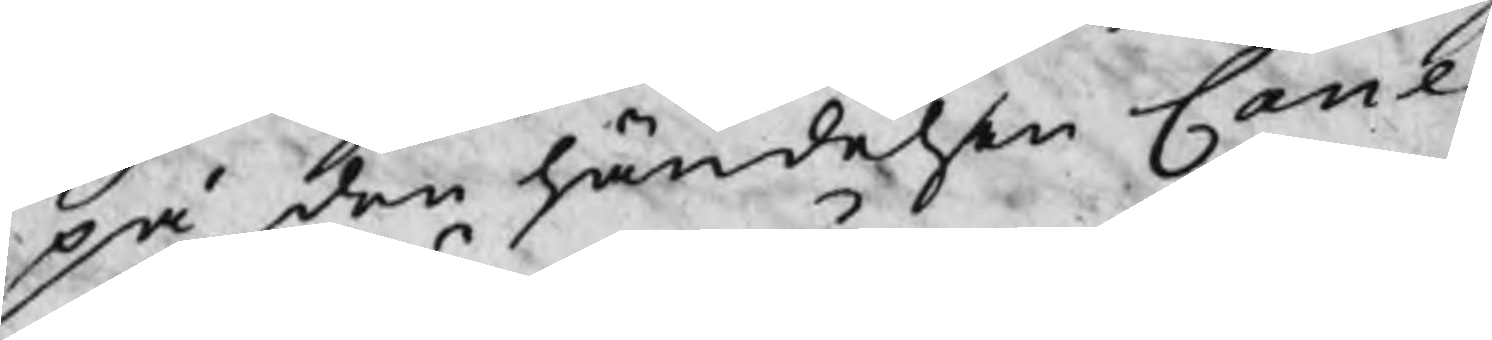på den händelsen Cane
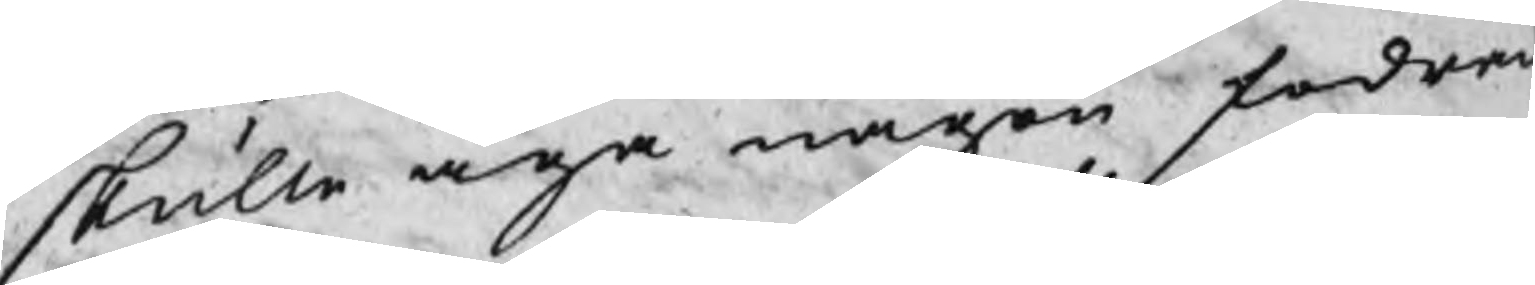skulle äga någon fodran
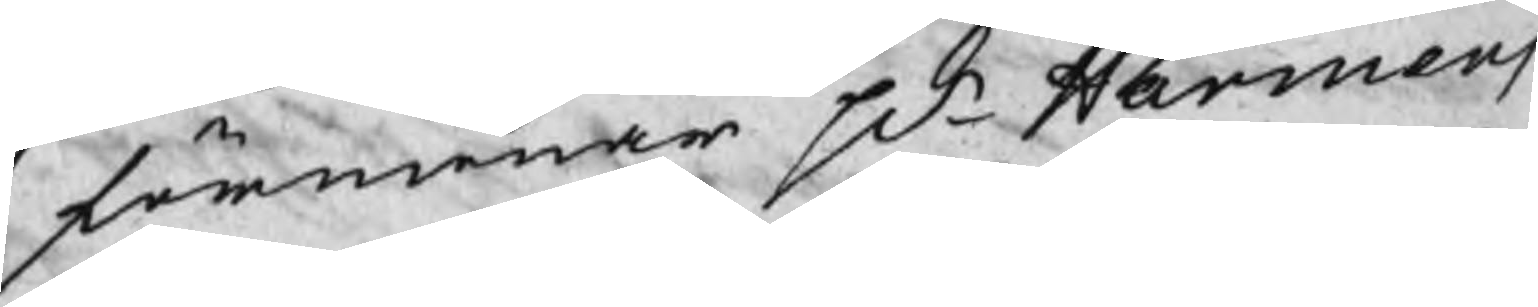förmenar Hr Harmens
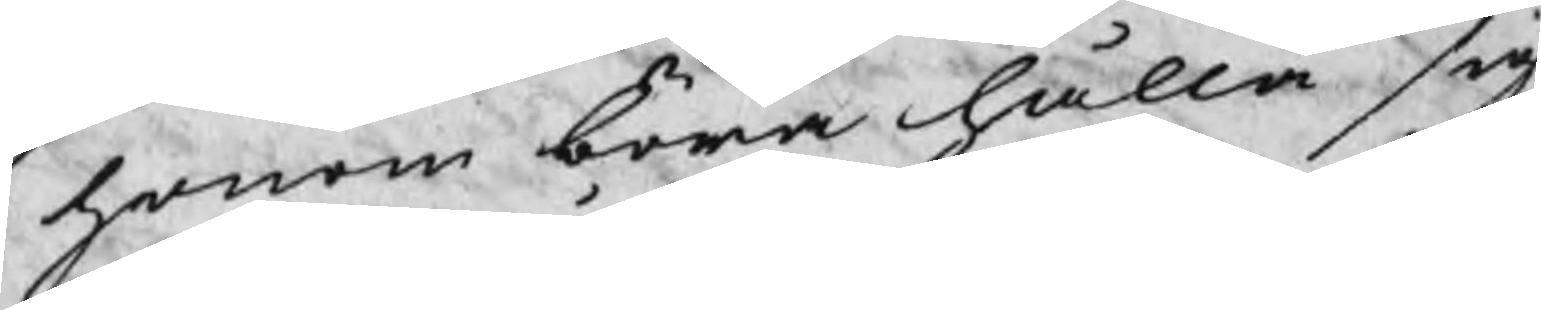honom böra hålla sig
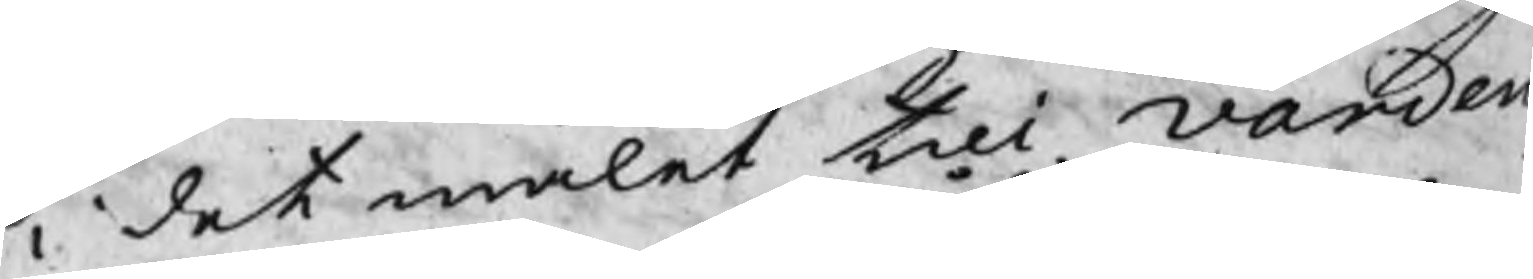i det målet till Varden,
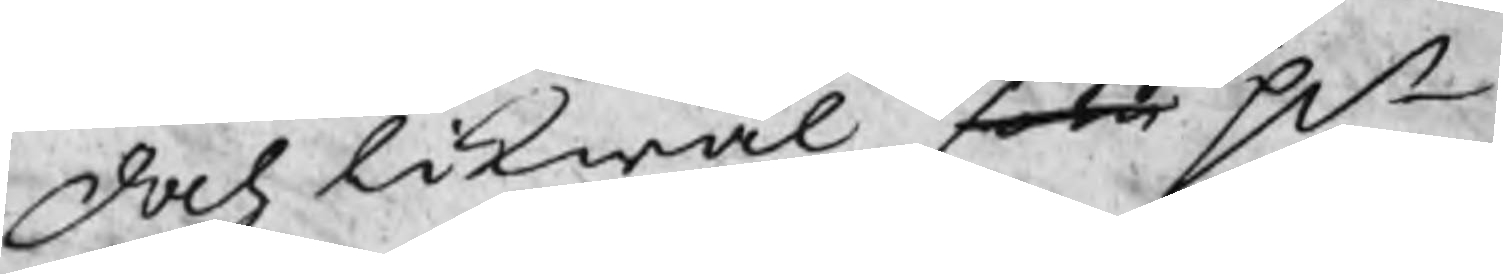Doch likwäl som Hr
